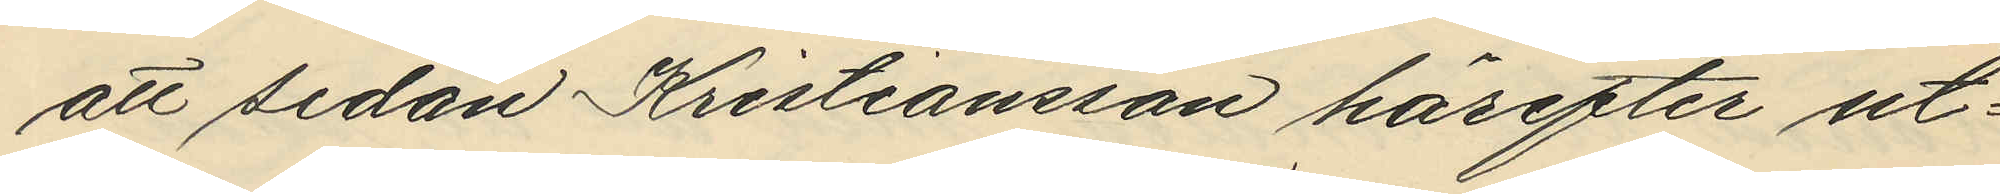att sedan Kristiansson härefter ut¬
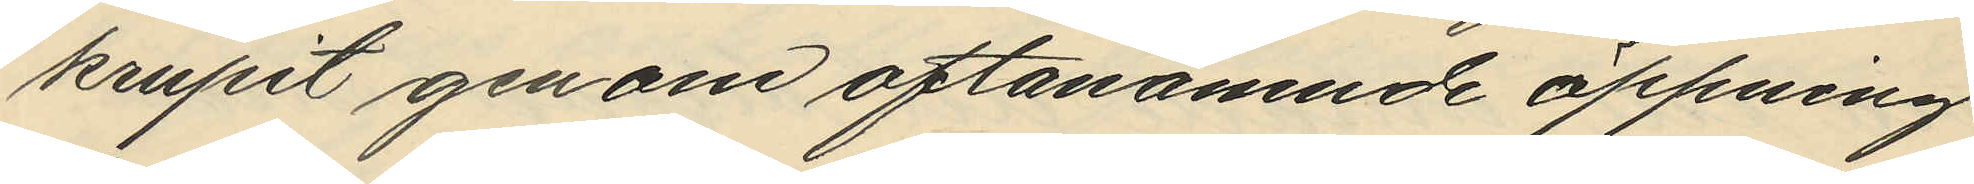krupit genom oftanämnde öppning
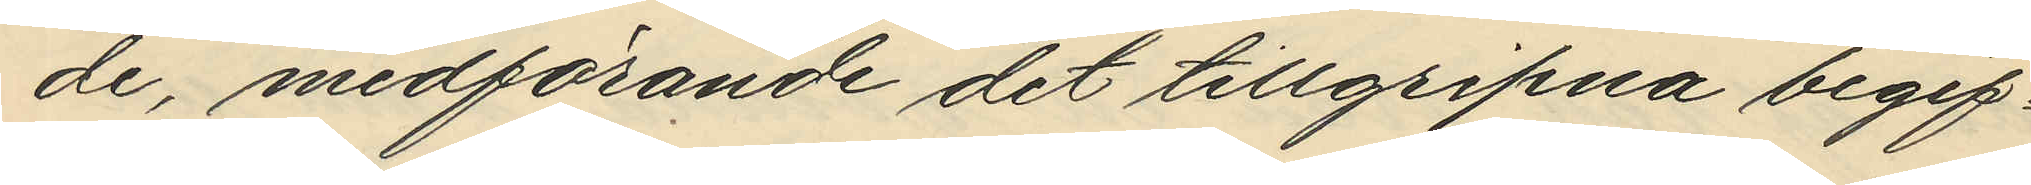de, medförande det tillgripna begif¬
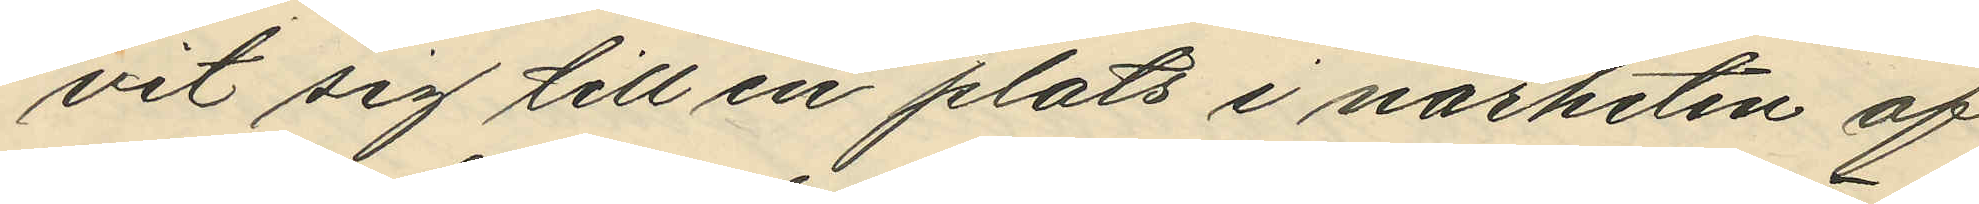vit sig till en plats i närheten af
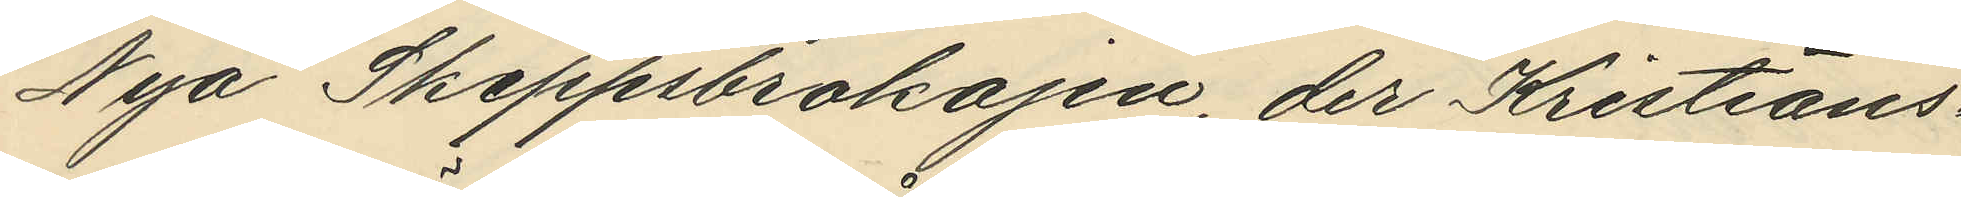Nya Skeppsbrokajen, der Kristians¬
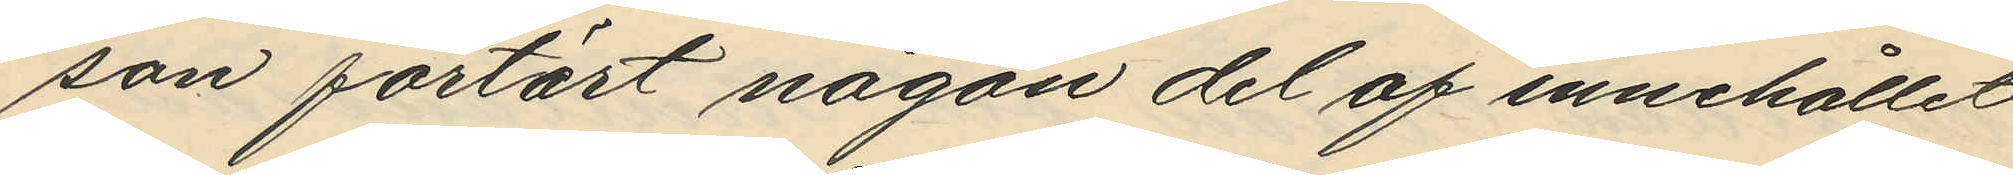son förtärt någon del af innehållet
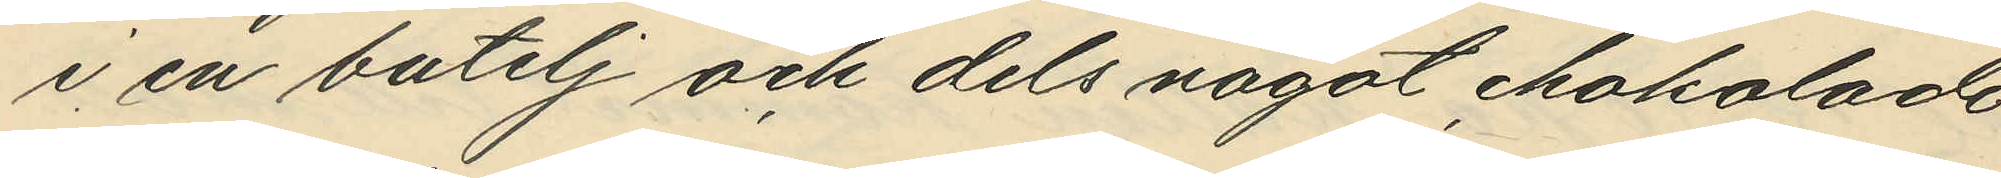i en butelj och dels något chokolade
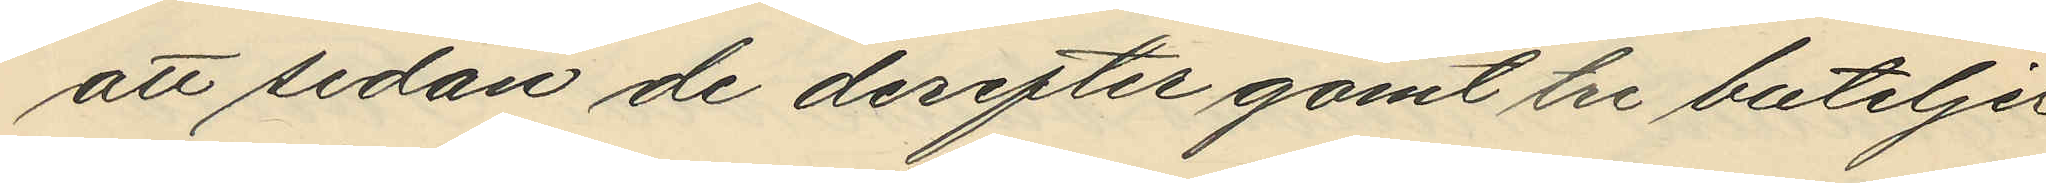att sedan de derefter gömt tre buteljer
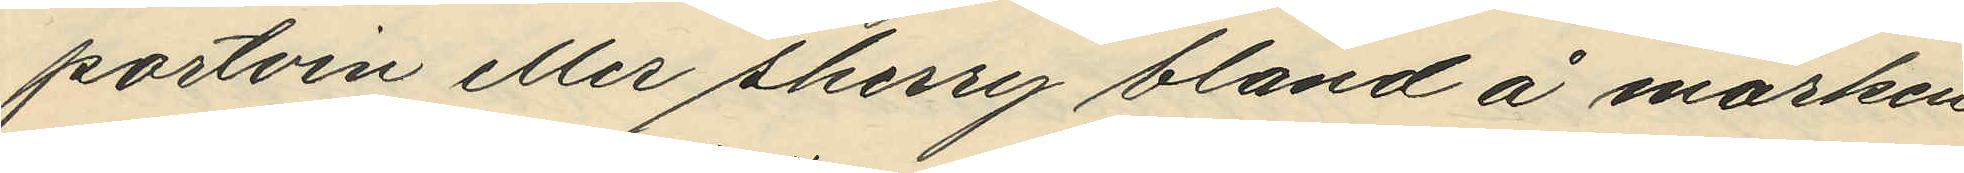portvin eller sherry bland å marken
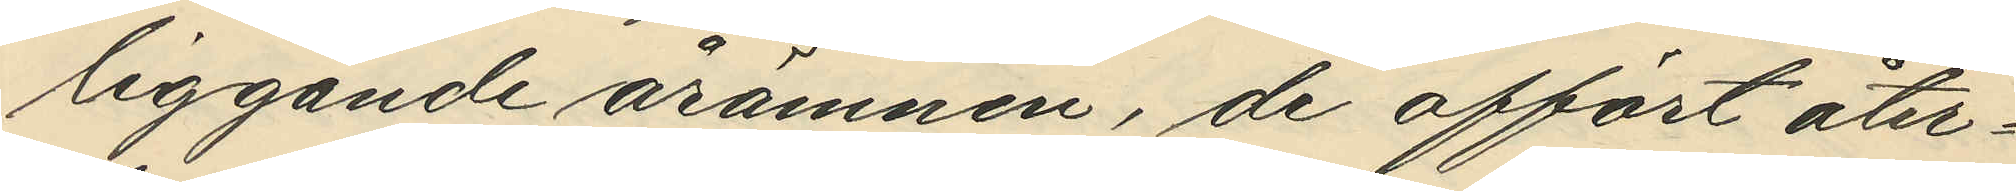liggande årämnen, de affört åter¬
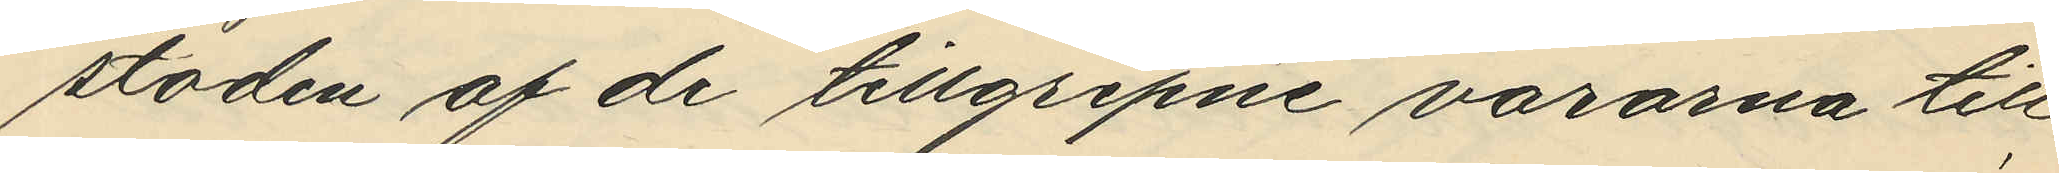stoden af de tillgripne varorna till
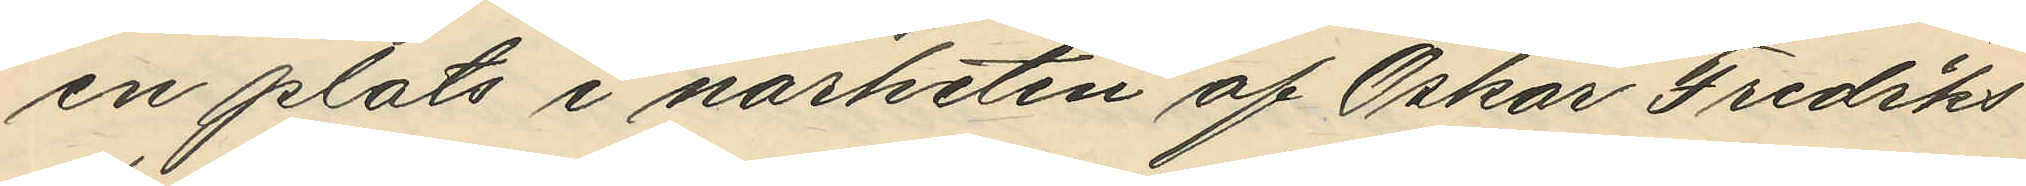en plats i närheten af Oskar Frediks
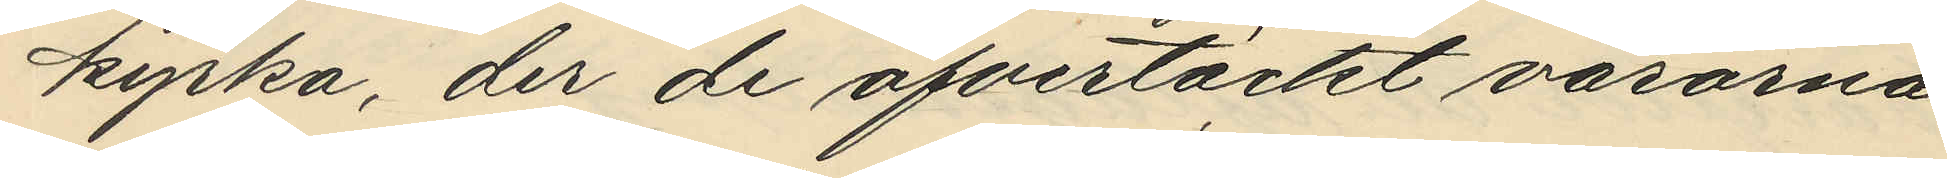kyrka, der de öfvertäckt varorna
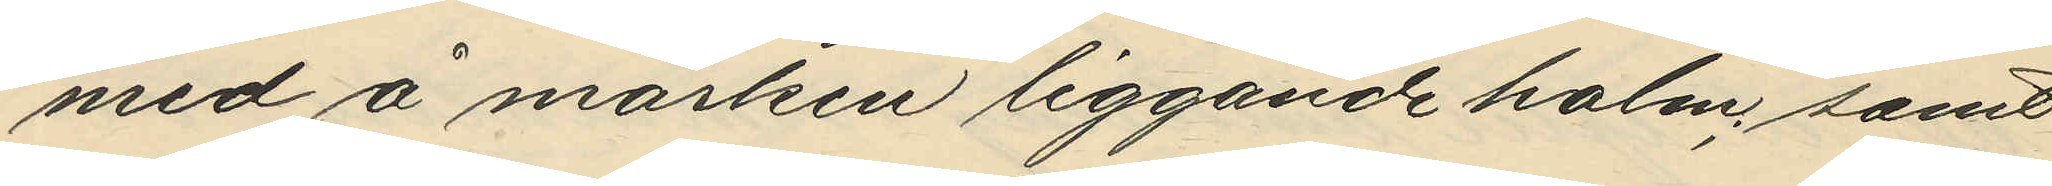med å marken liggande halm; samt
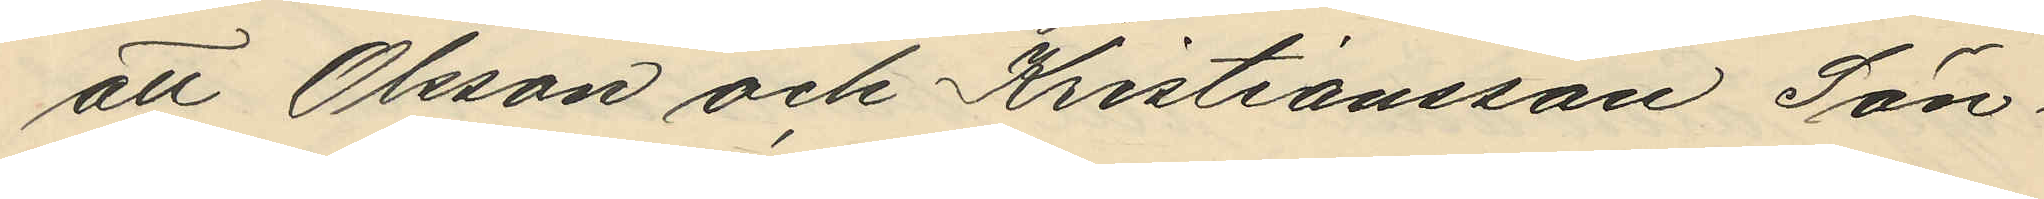att Olsson och Kristiansson Sön¬
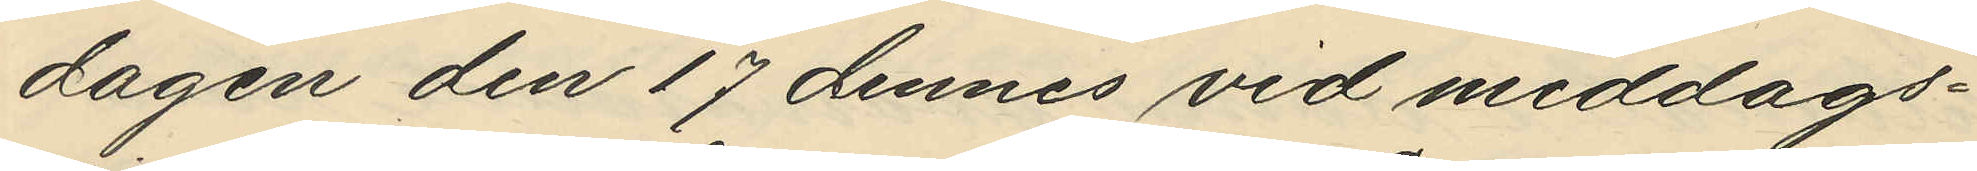dagen den 17 dennes vid middags¬
